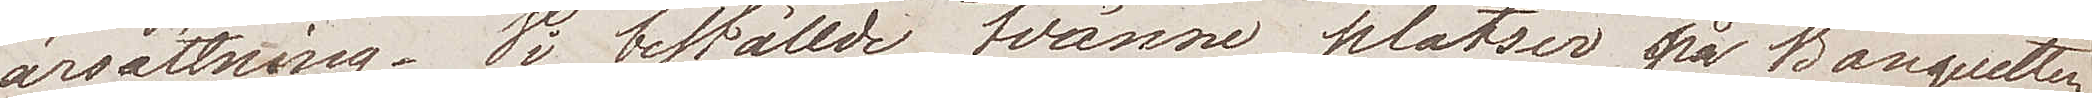ärsättning. Vi beställde tvänne platser på Banquetten
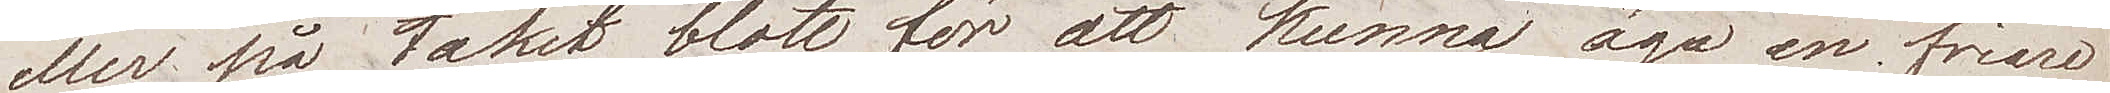eller på taket blott för att kunna äga en friare
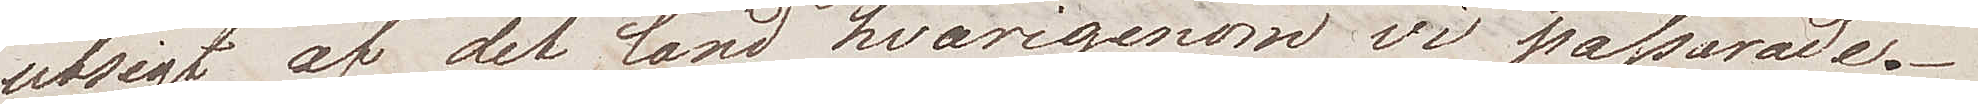utsigt af det land hvarigenom vi passerade.
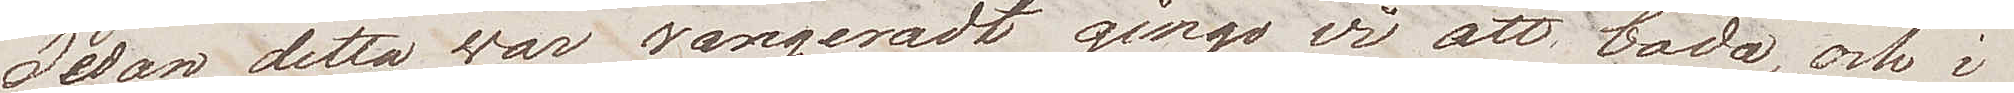Sedan detta var rangeradt gingo vi att bada, och i
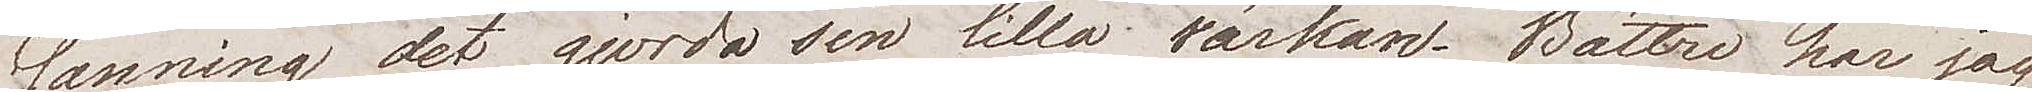sanning det gjorde sin lilla värkan. Bättre har jag
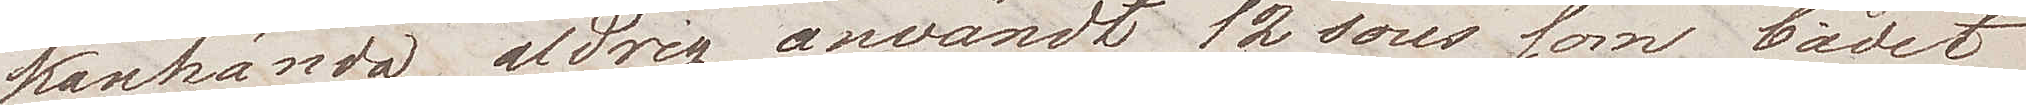kanhända aldrig användt 12 sous som badet
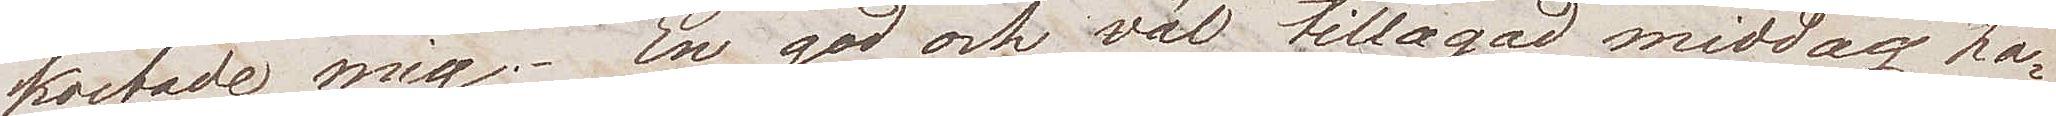kostade mig. En god och väl tillagad middag ha¬
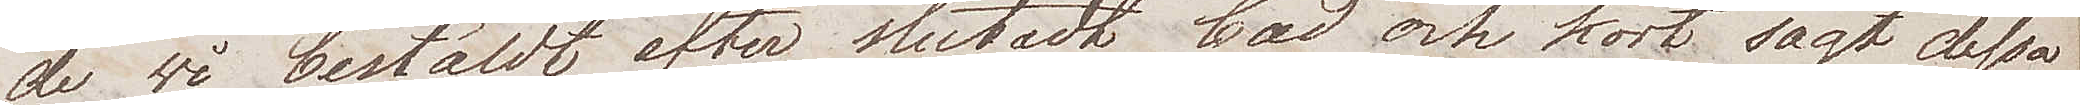de vi beställt efter slutadt bad och kort sagt dessa
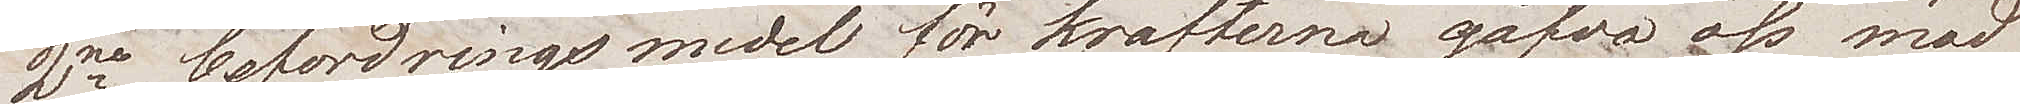2ne befordringsmedel för krafterna gåfvo oss mod
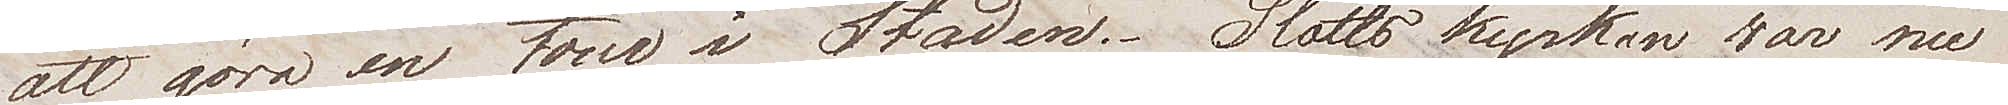att göra en tur i Staden. Slottskyrkan var nu
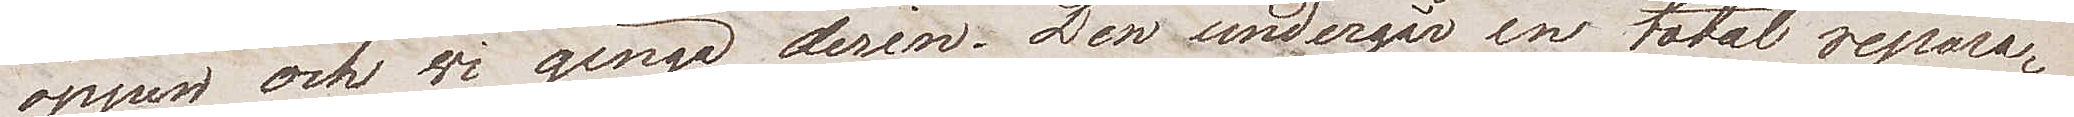öppen och vi gingo derin. Den undergår en total repara¬
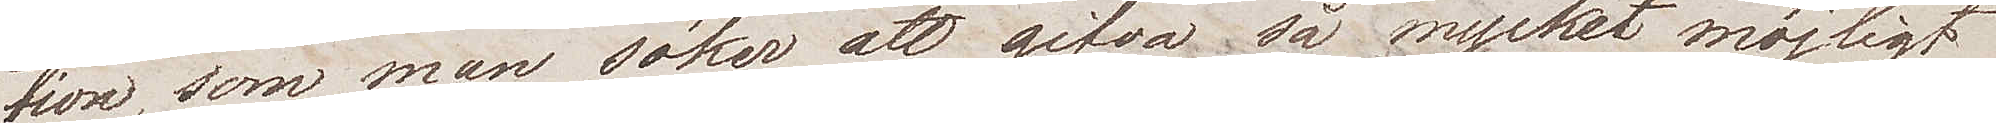tion, som man söker att gifva så mycket möjligt
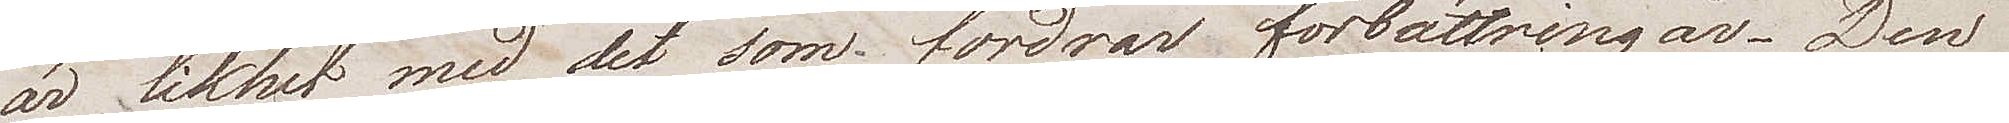av likhet med det som fordrar förbättringar. Den
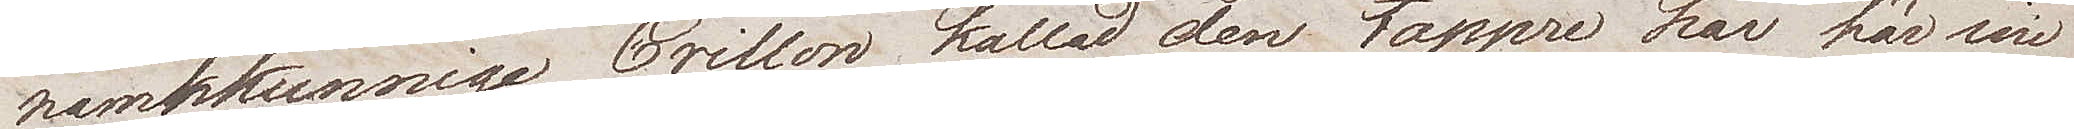namnkunnige Crillon kallad den tappre har här sin
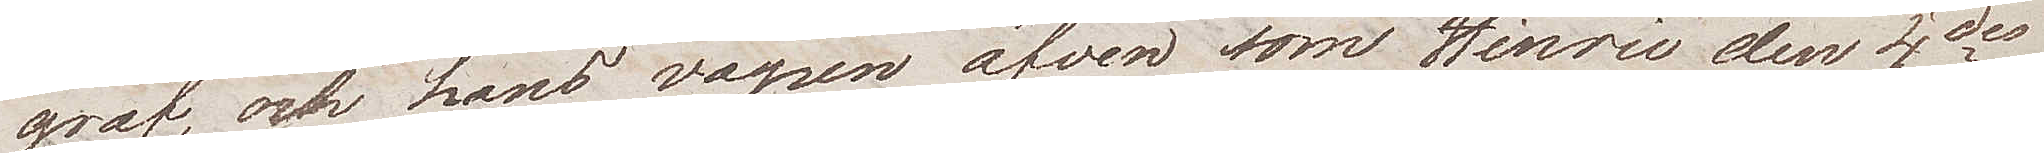graf, och hans vapen äfven som Hinric den 4des
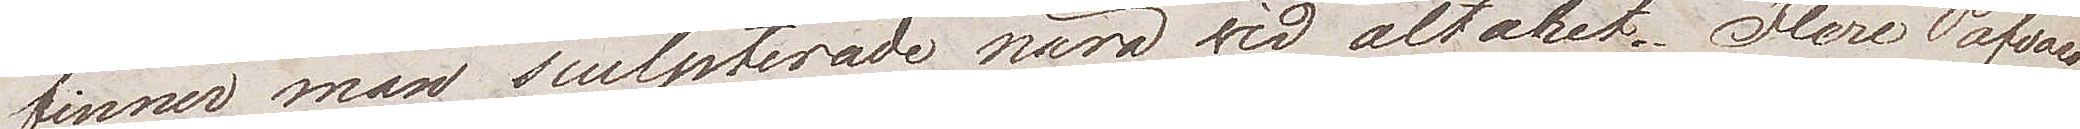finner man sculpterade nära vid altaret. Flere Påfvars
